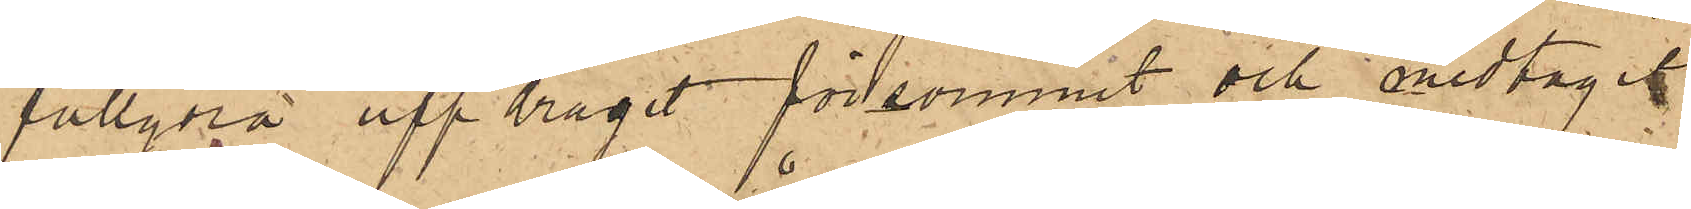fullgöra uppdraget försvunnit och medtagit
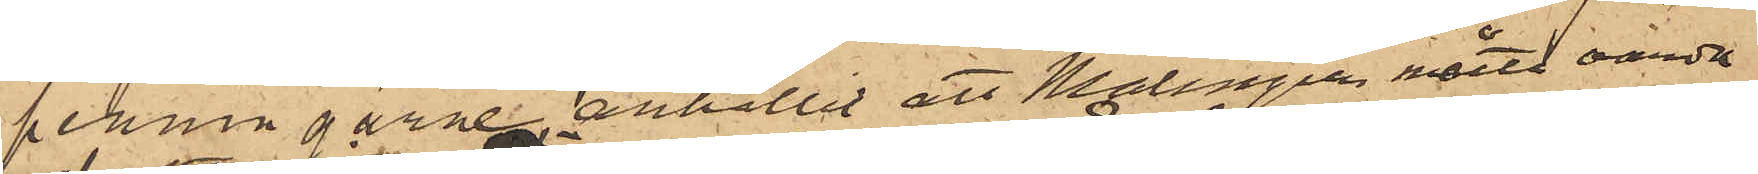penningarne, anhållit att Malmgren måtte varda
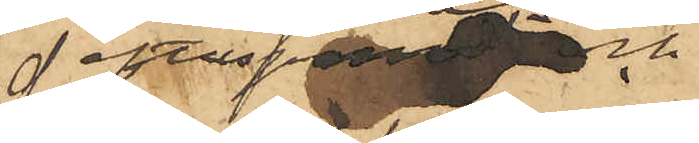efterspanad och
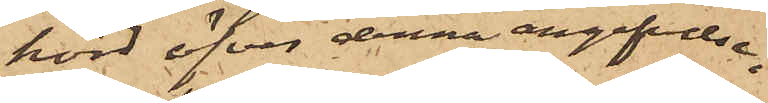hörd öfver denna angifvelse.
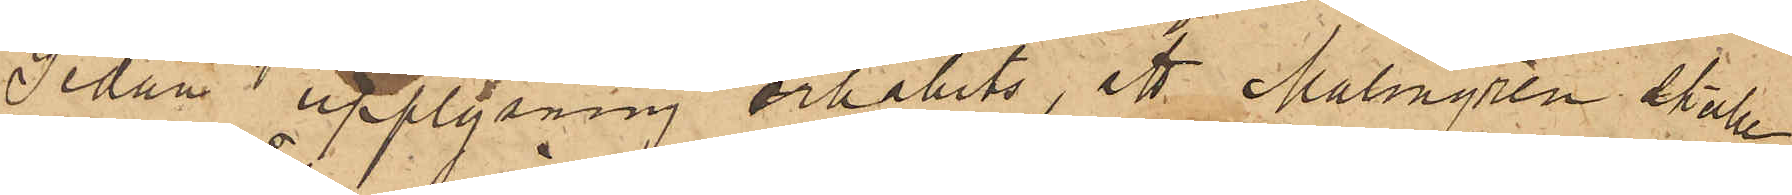Sedan upplysning  erhållits, att Malmgren skulle
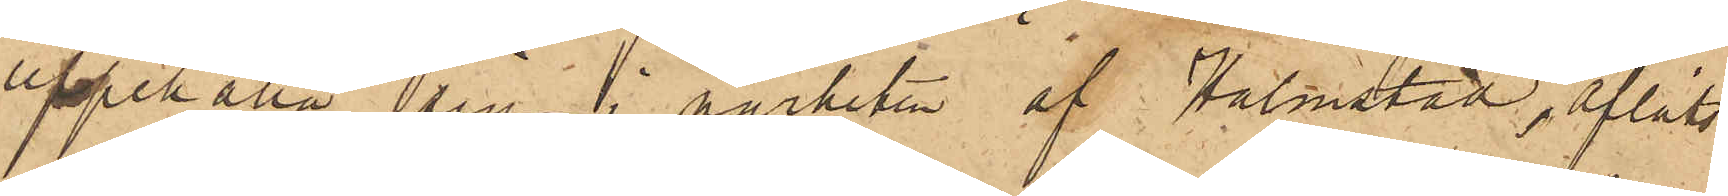uppehålla sig i närheten af Halmstad, afläts
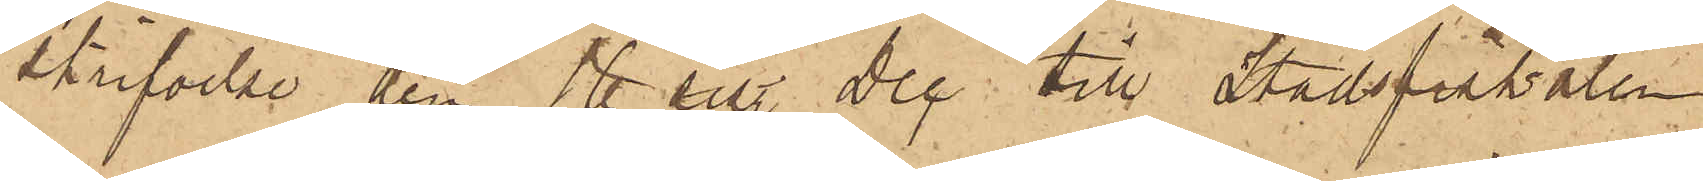skrifvelse den 16 sist. Dec till Stadsfiskalen
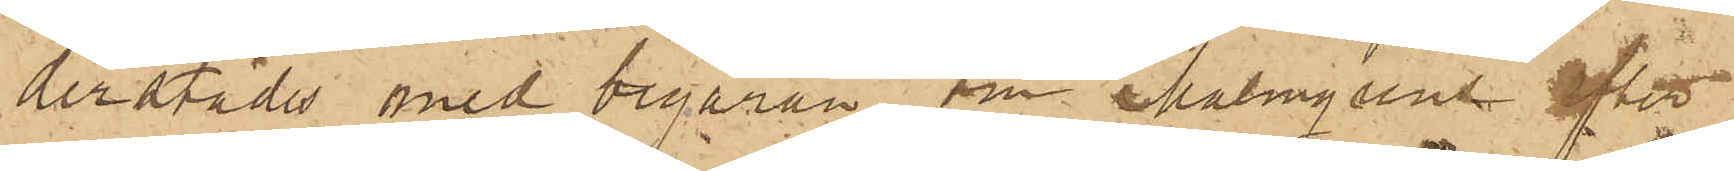derstädes med begäran om Malmgrens efter¬
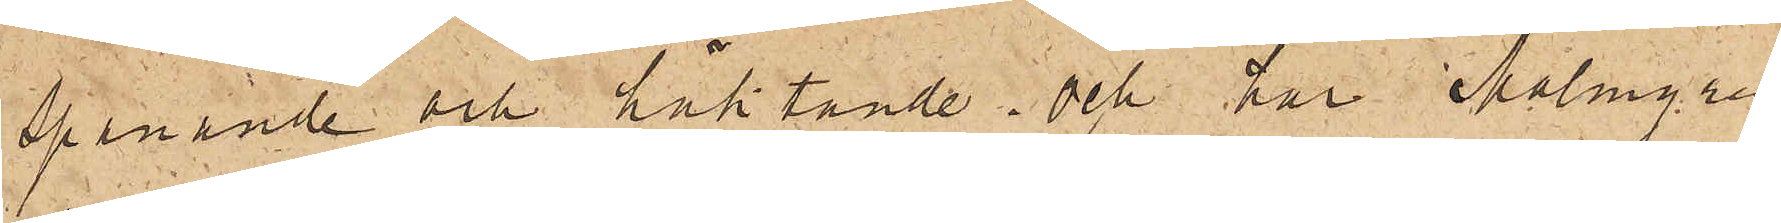spanande och häktande; och har Malmgren
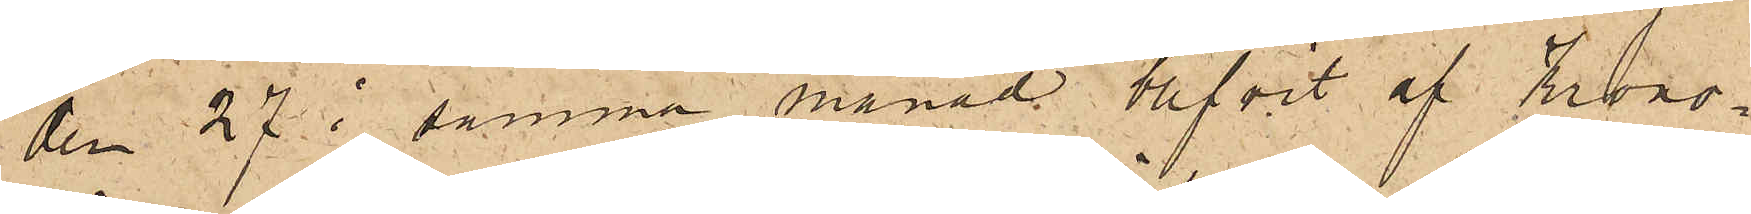den 27 i samma månad blifvit af Krono¬
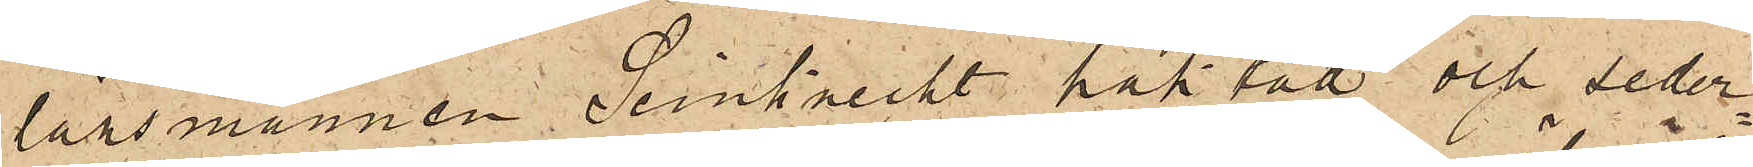länsmannen Seinknecht häktad och seder¬
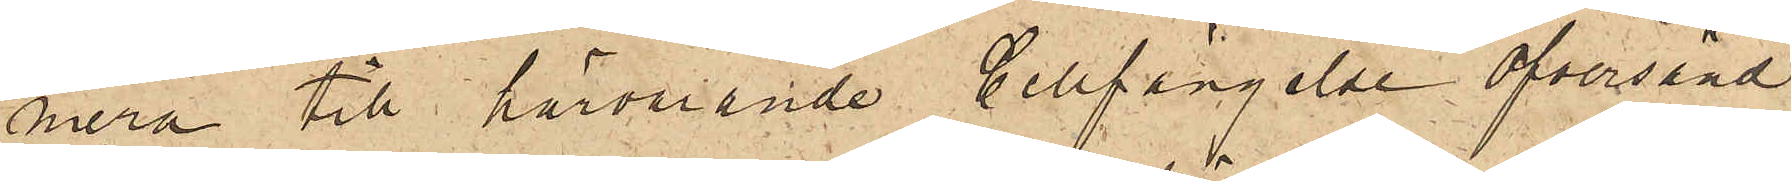mera till härvarande Cellfängelse öfversänd.
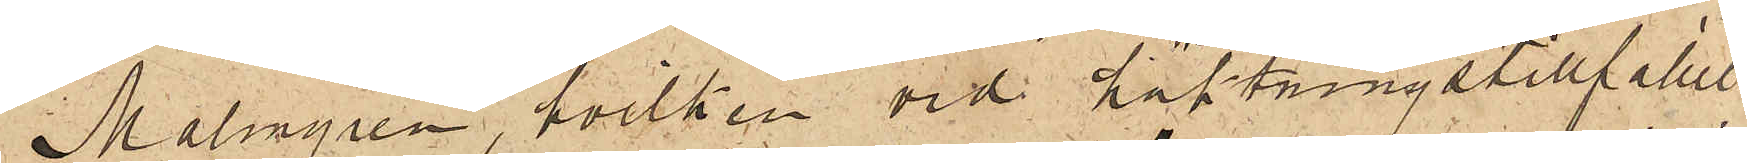Malmgren, hvilken vid häktningstillfället
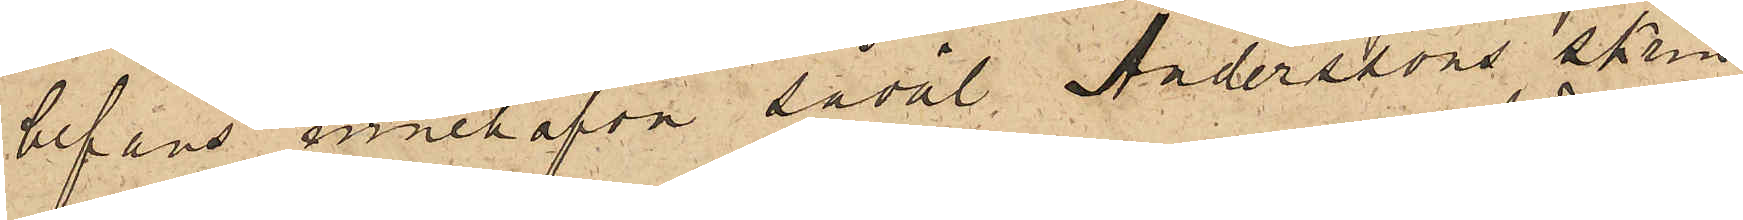befans innehafva såväl Anderssons skrin
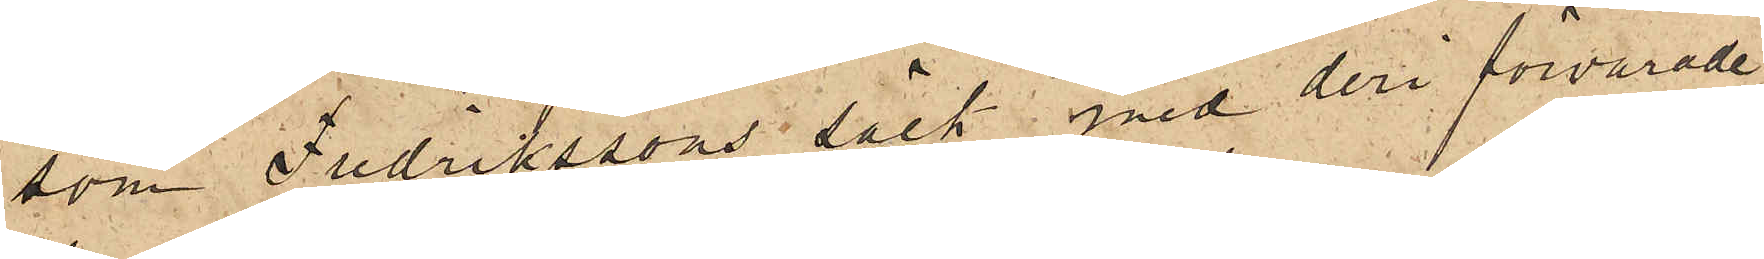som Fredrikssons säck med deri förvarade
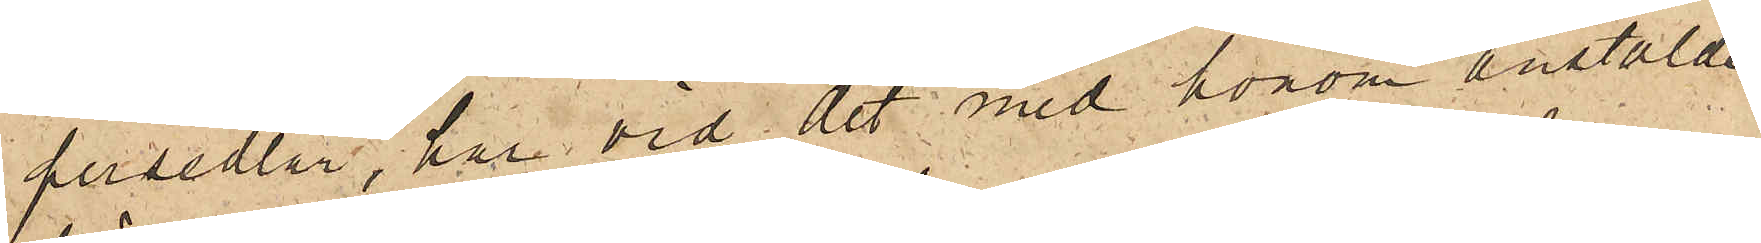persedlar, har vid det med honom anstälde
